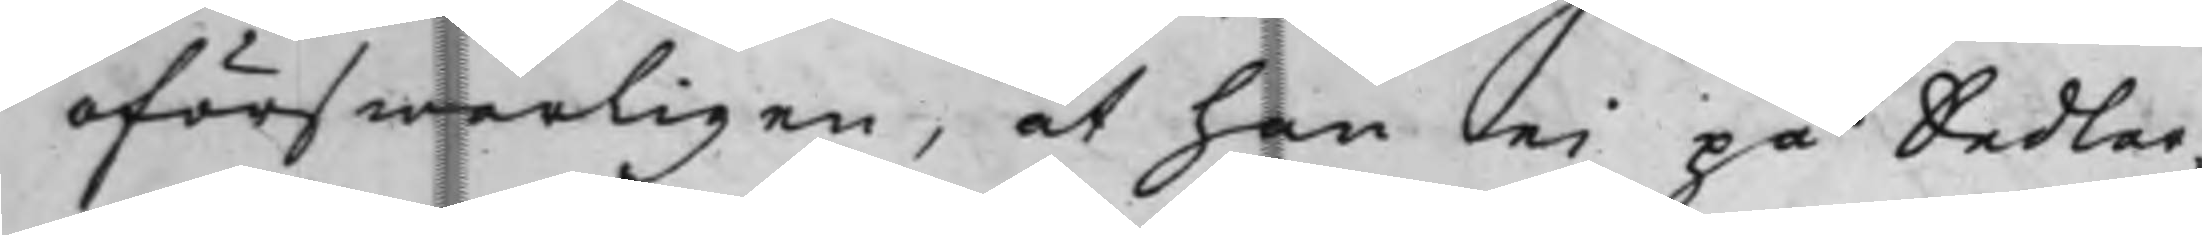oförswarligen, at han ei på Sedlar¬
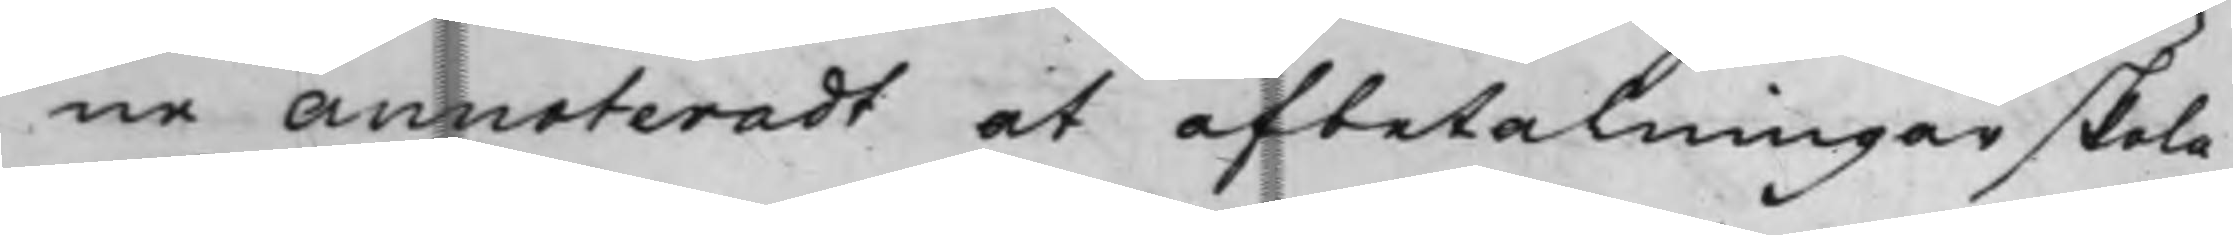ne annoteradt at afbetalningar skola
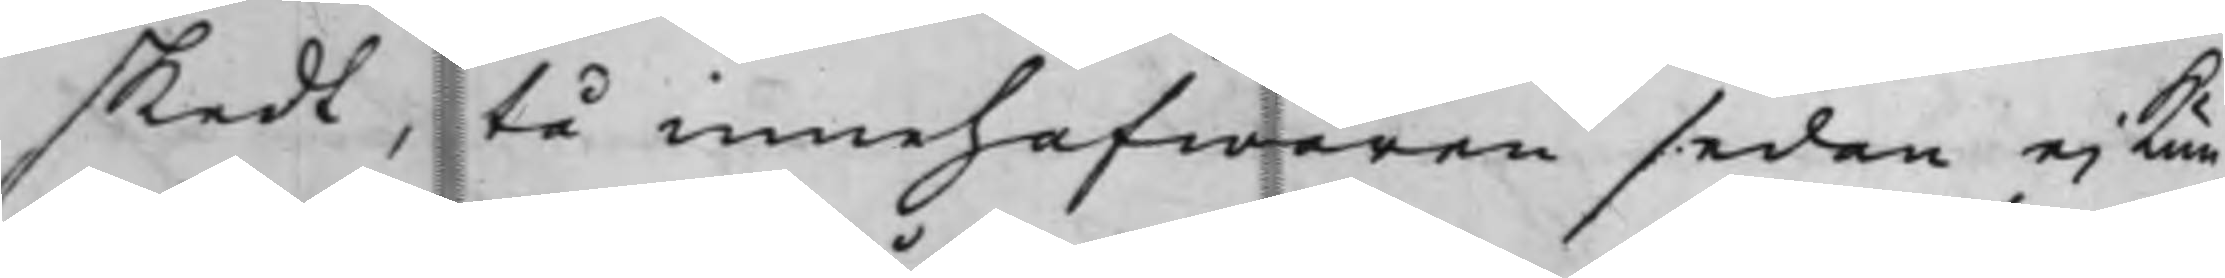skedt, tå innehafwaren sedan ei kun¬
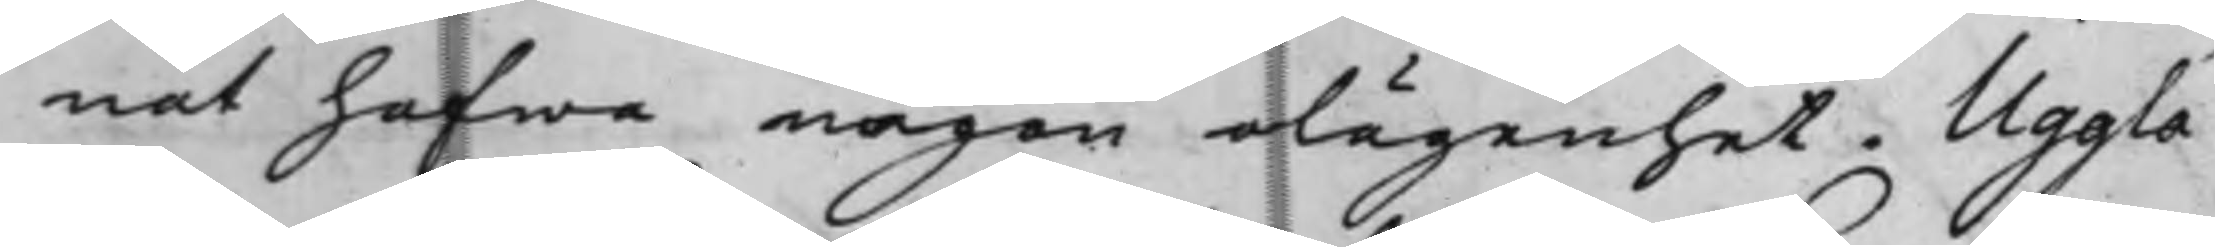nat hafwa någon olägenhet. Uggla
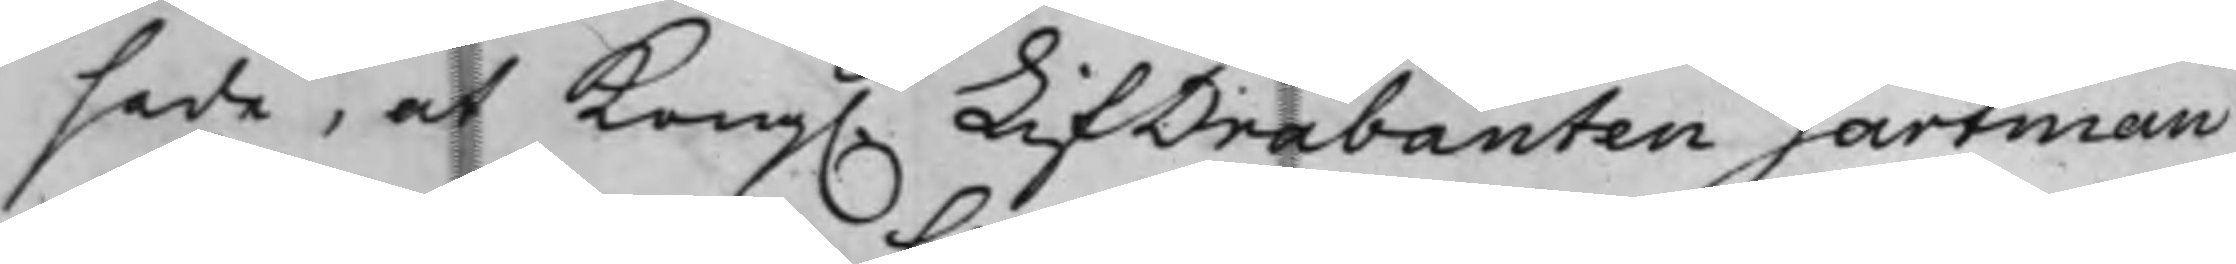sade, at Kong. LifDrabanten Gartman
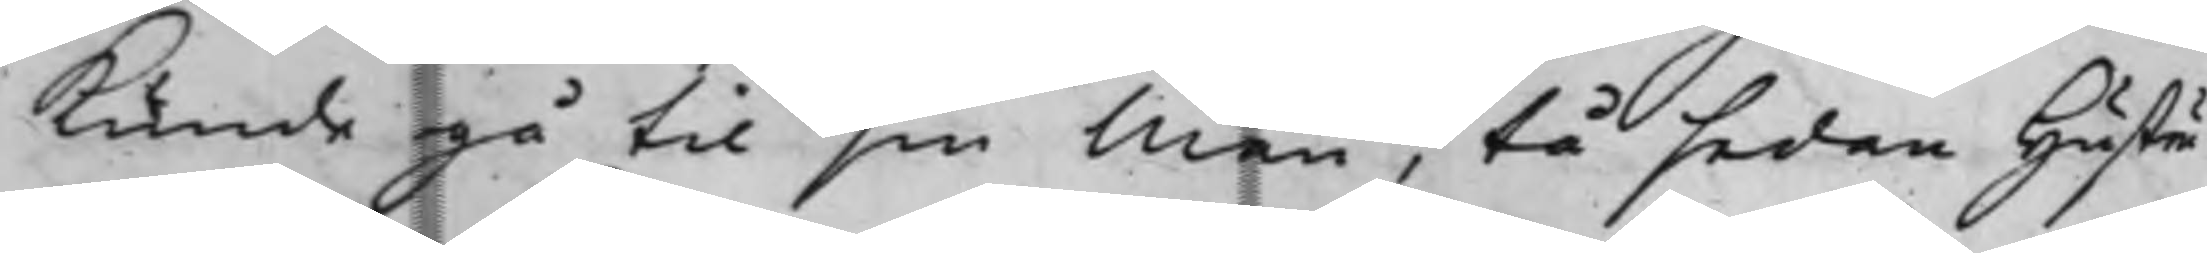kunde gå til sin Man, tå sedan hustru
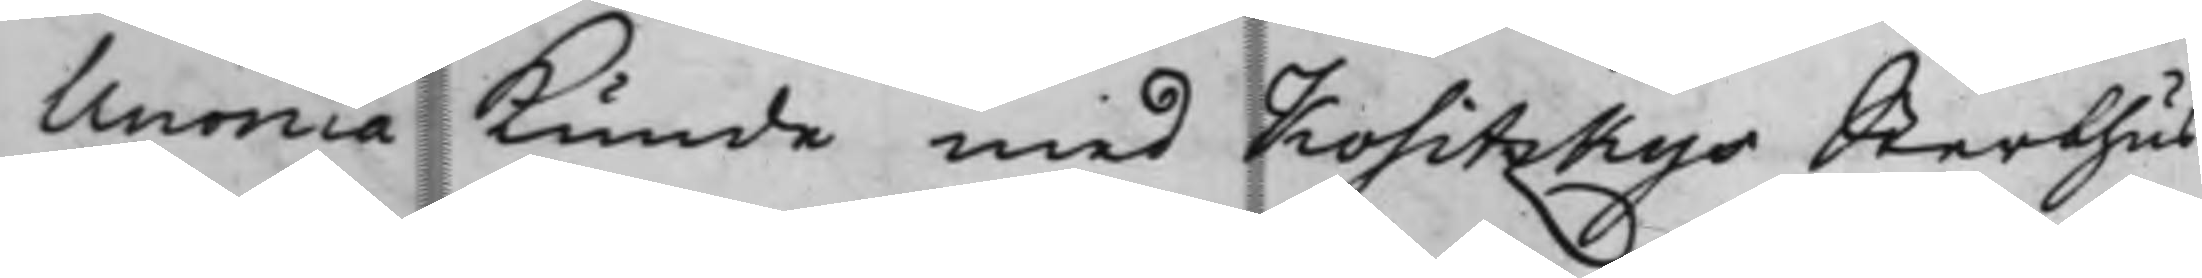Unonia kunde med Kositzkys Sterbhus
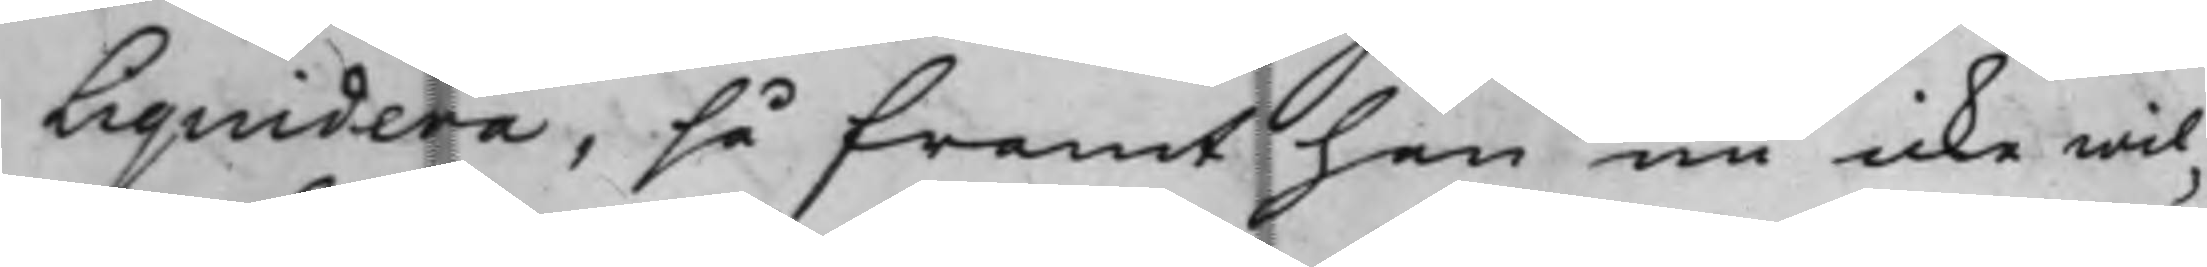Liquidera, så framt han nu icke wil¬
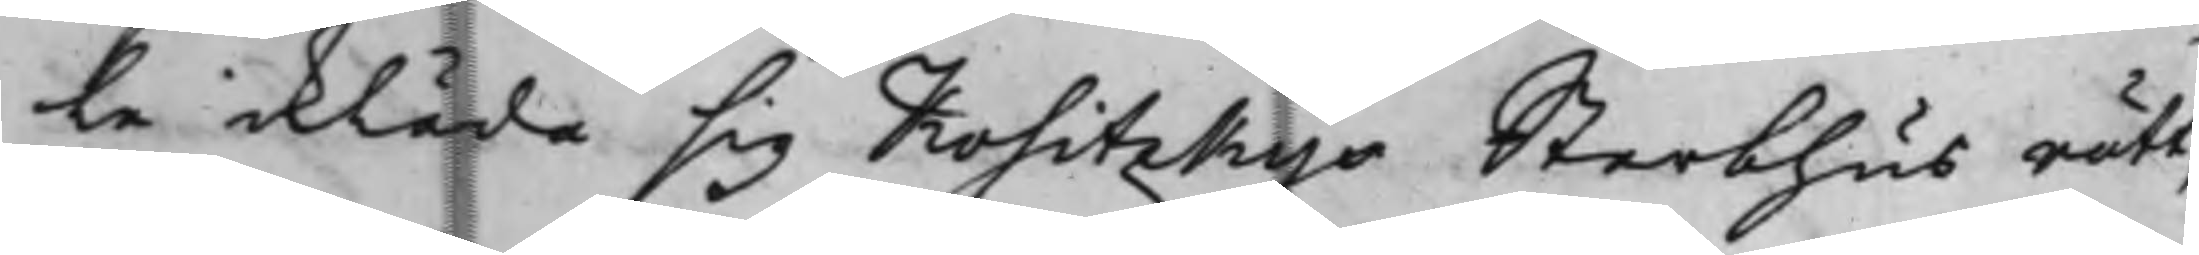le ikläda sig Kositzkys Sterbhus rätt,
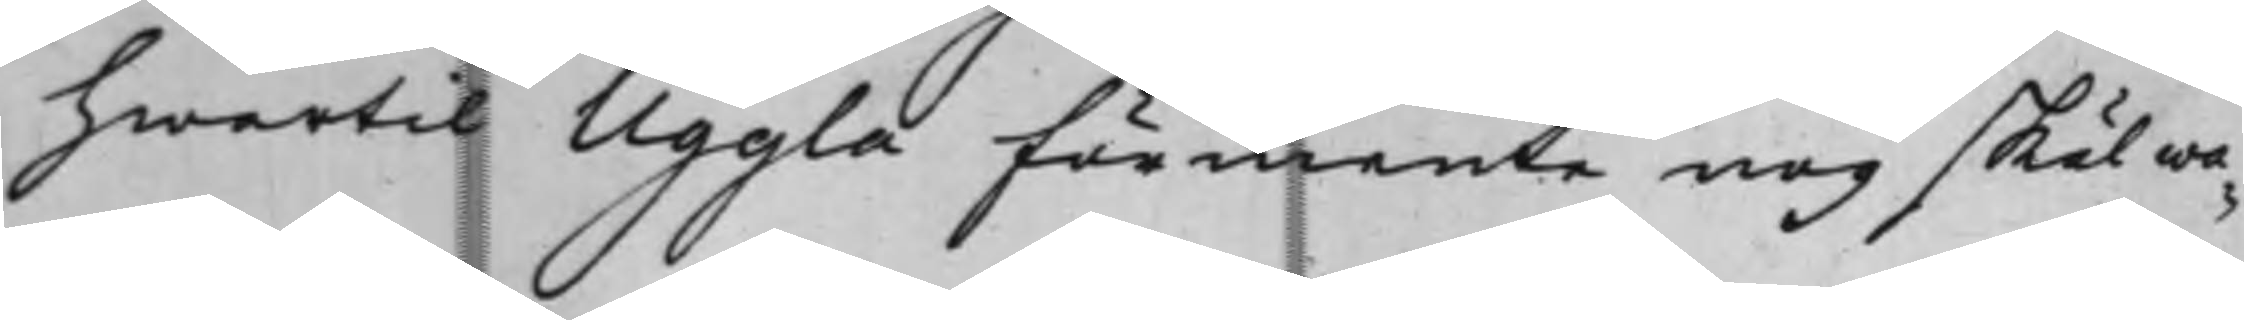hwartil Uggla förmente nog skäl wa¬
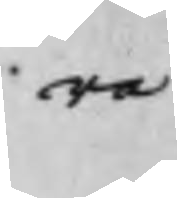ra
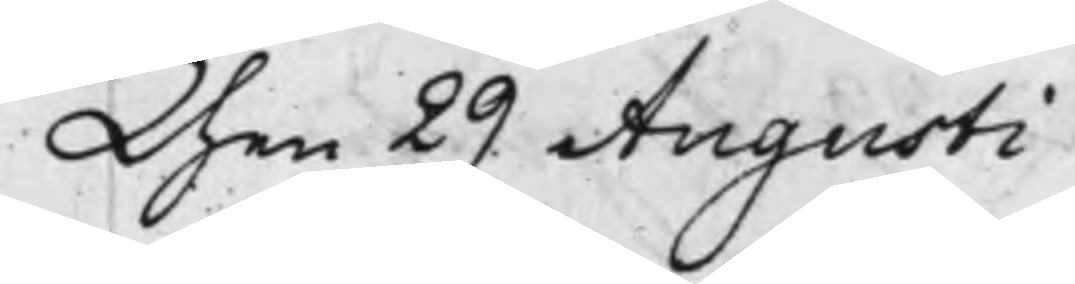den 29 Augusti
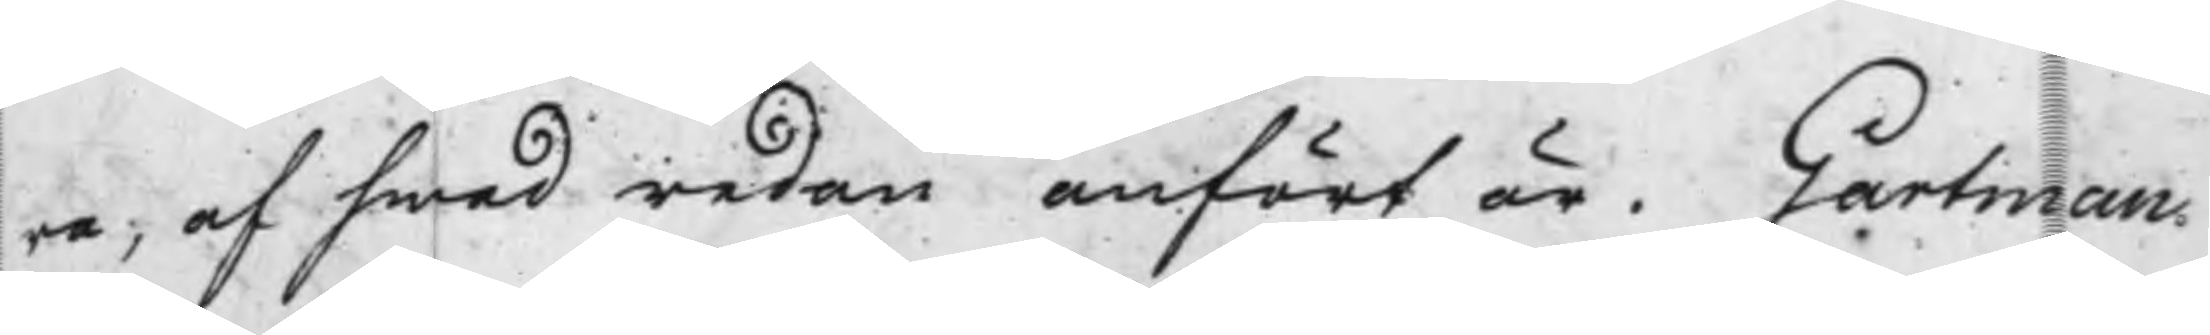ra, af hwad redan anfört är. Gartman
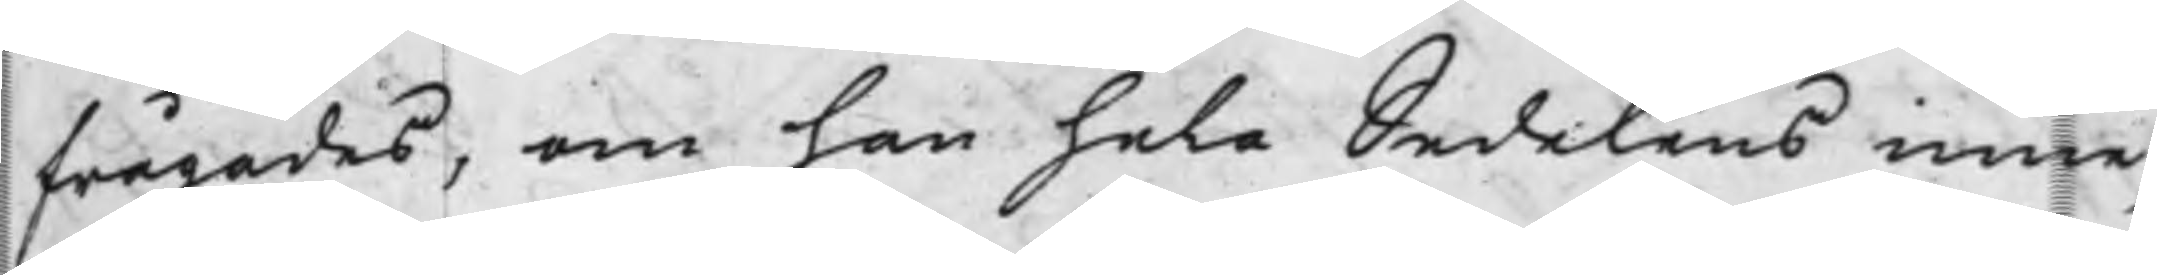frågades, om han hela Sedelens inne¬
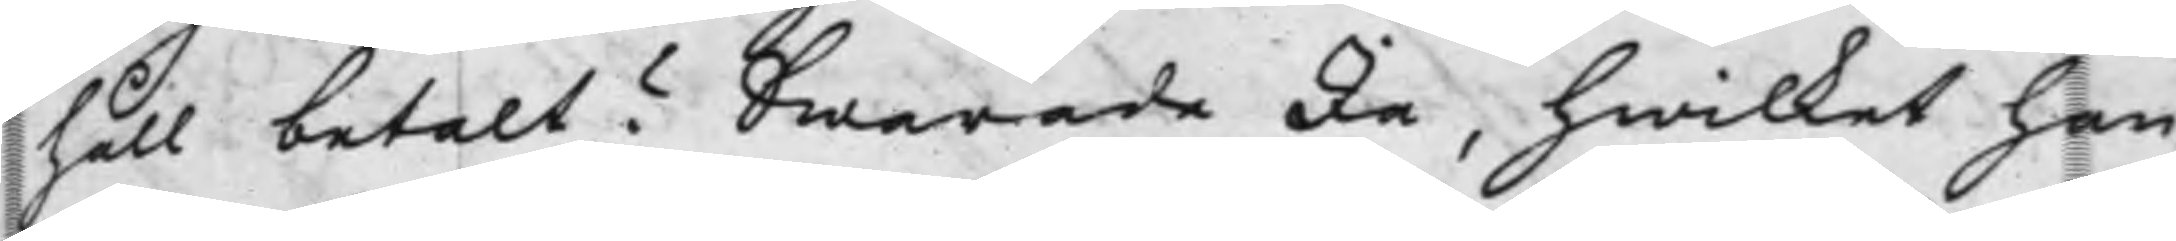håll betalt? Swarade Ja, hwilket han
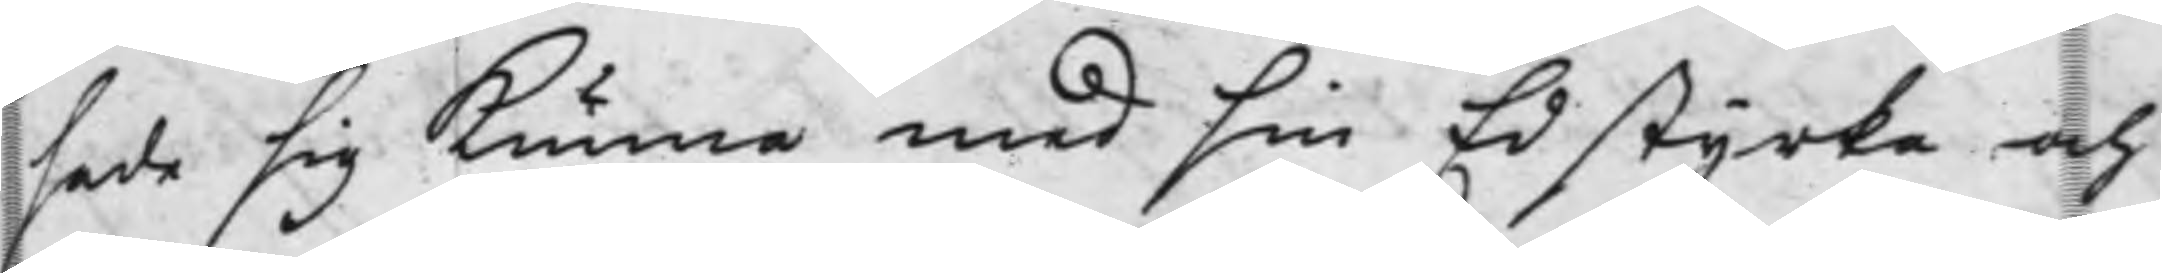sade sig kunna med sin Ed styrka och
